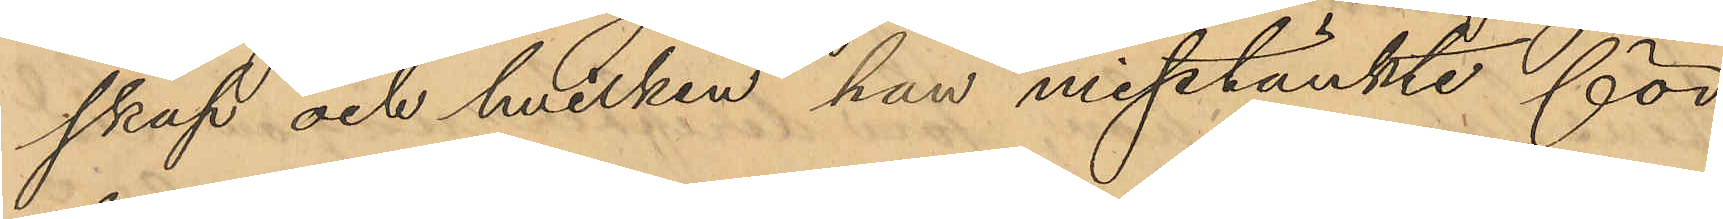skap och hvilken han misstänkte för
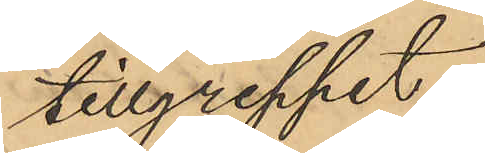tillgreppet.
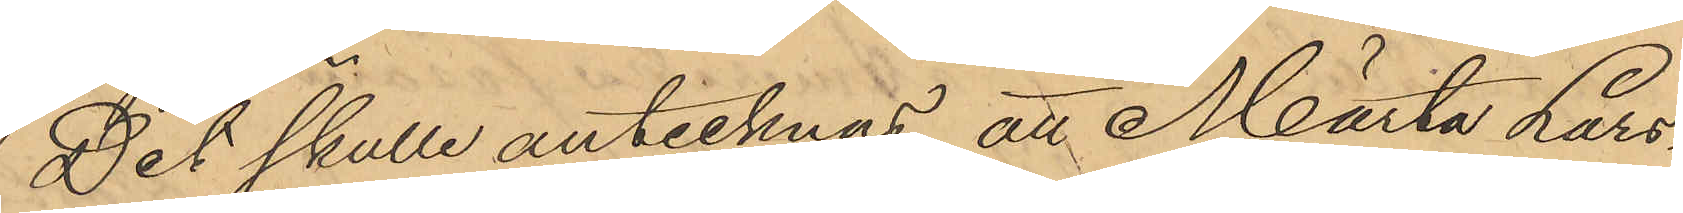Det skulle antecknas att Märta Lars¬
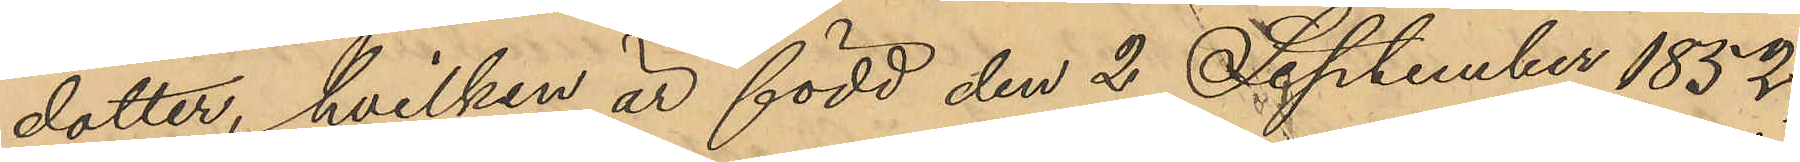dotter, hvilken är född den 2 September 1852,
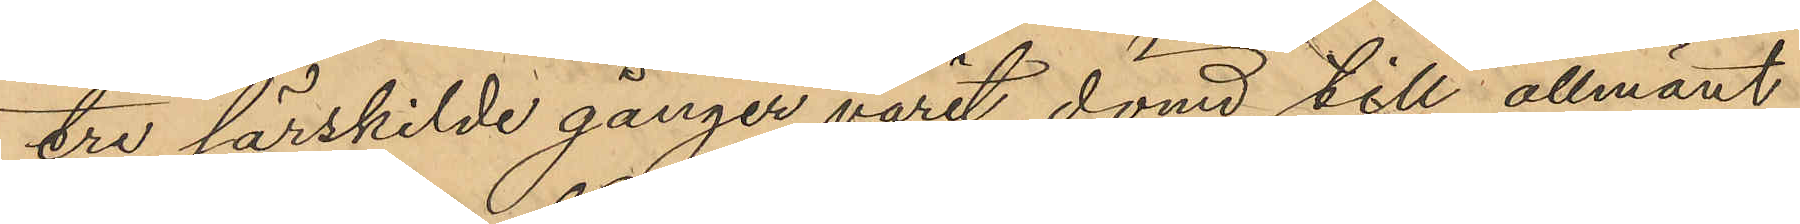tre särskilde gånger varit dömd till allmänt
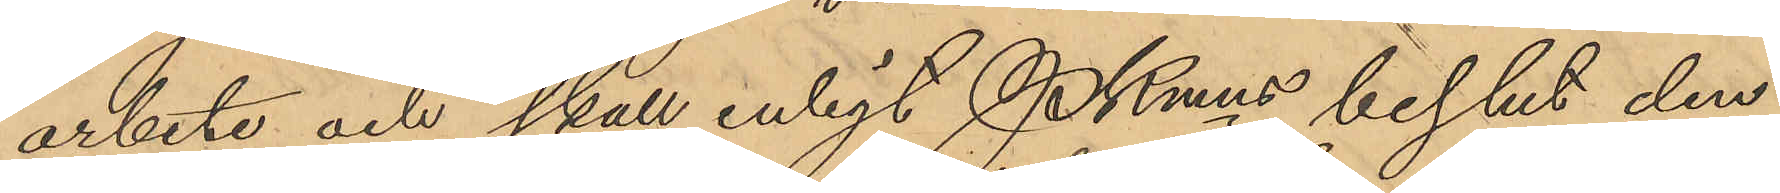arbete och skall enligt Pkmns beslut den
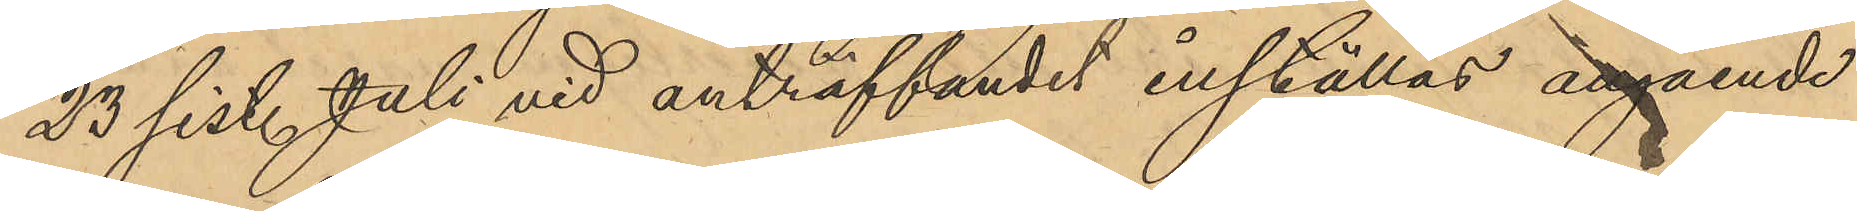23 sist. Juli vid anträffandet inställas angående
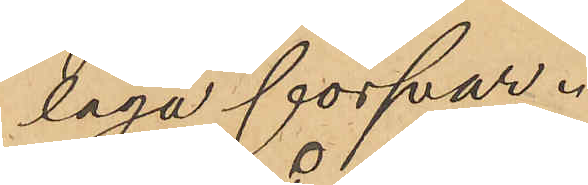laga försvar.
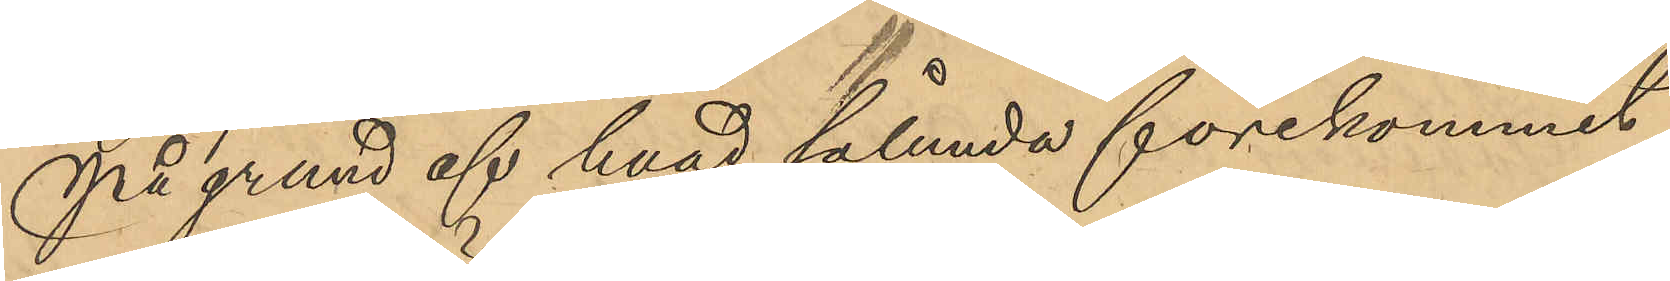På grund af hvad sålunda förekommit
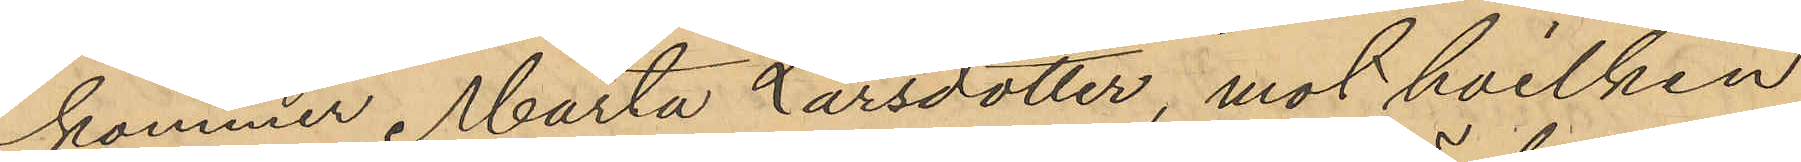kommer Märta Larsdotter, mot hvilken
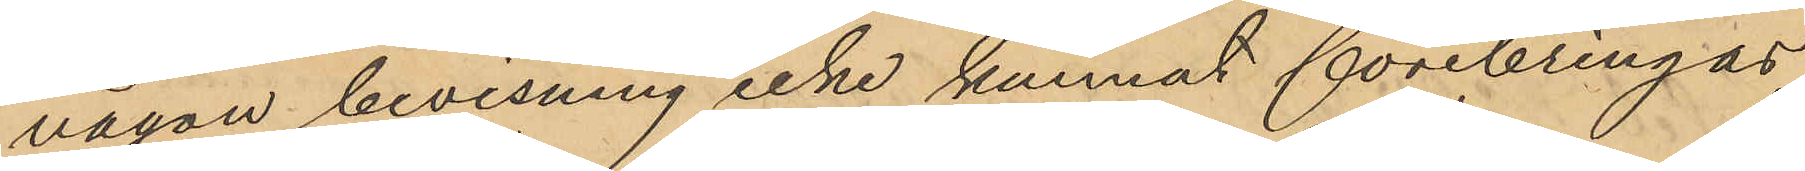någon bevisning icke kunnat förebringas
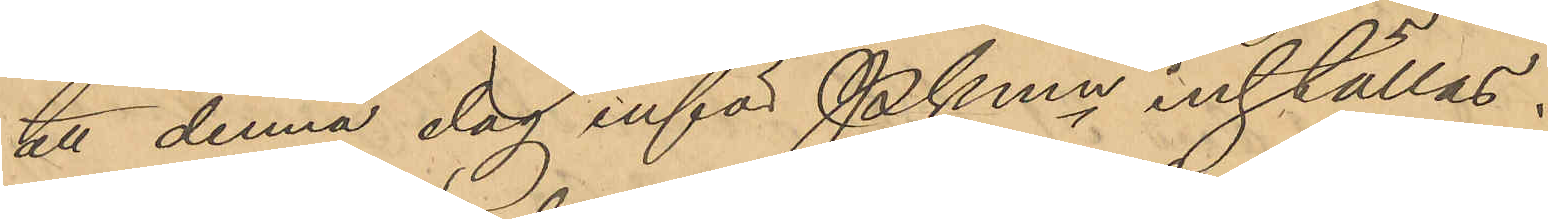att denna dag inför Pkmn inställas.
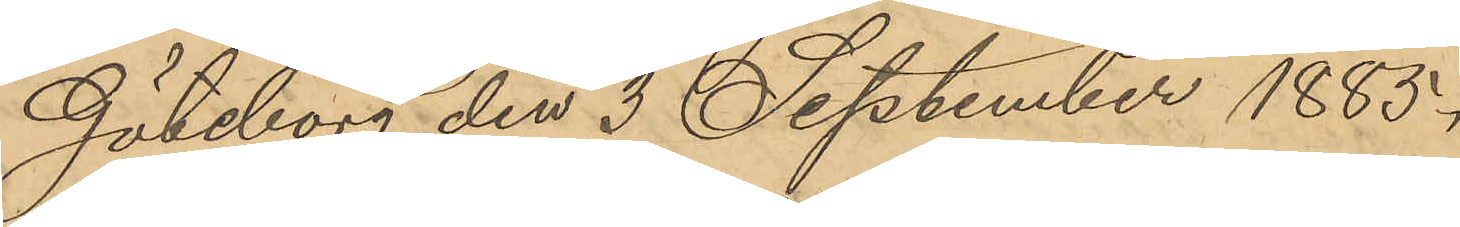Göteborg den 3 September 1885.
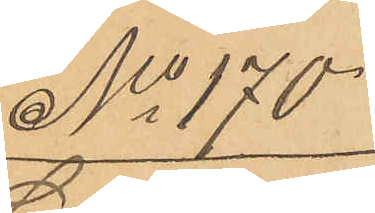No 170.
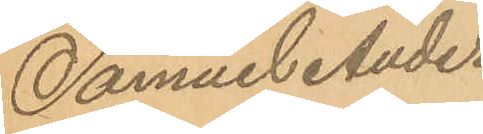Samuel Anders¬
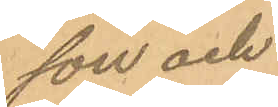son och
